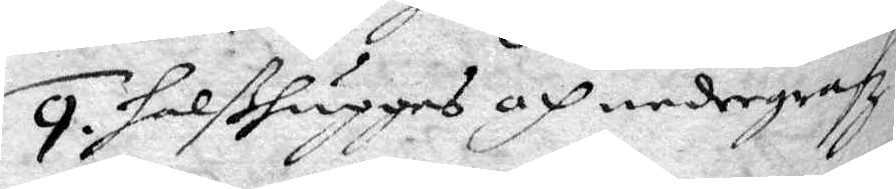9. halßhugges och nedergrafz.
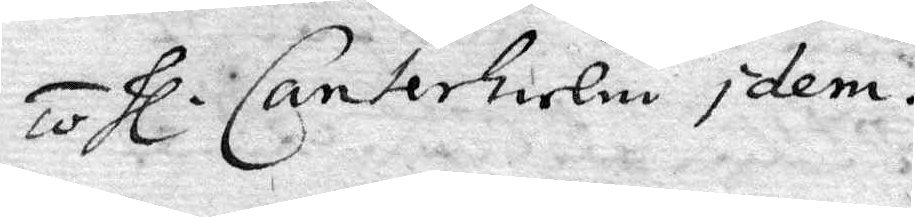10. hl. Canterhielm Idem.
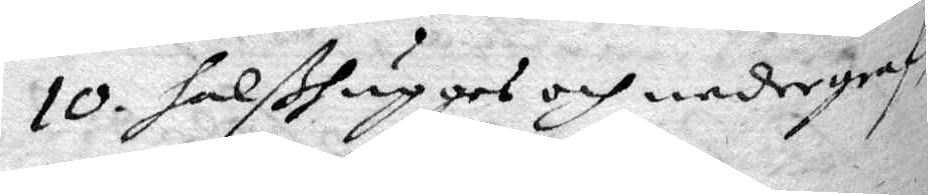10. halßhugges och nedergraf¬
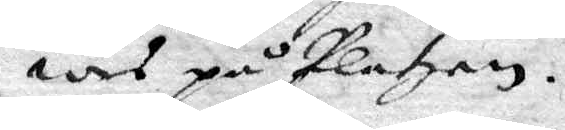wes på Platzen.
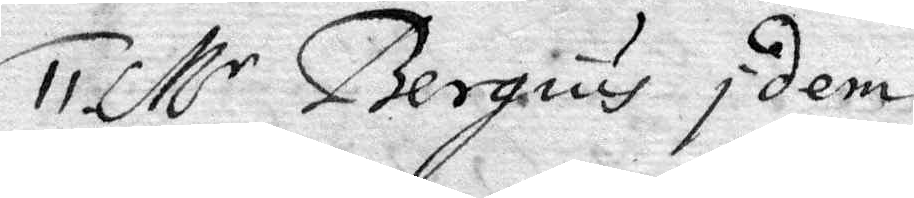11. M.r bergius Idem.
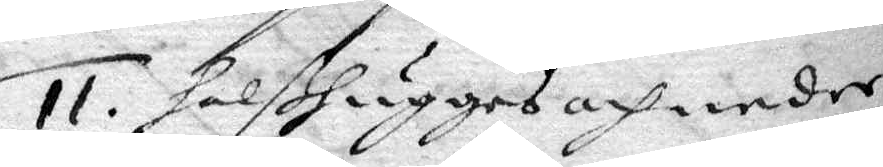11. halßhugges och neder¬
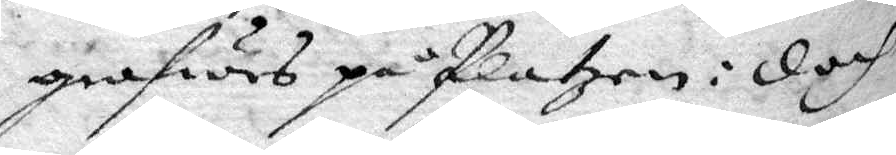grafwes på Platzen: doch
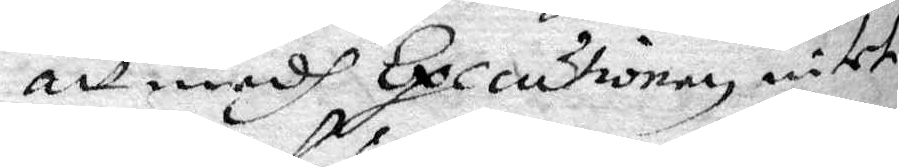att medh executionen intet
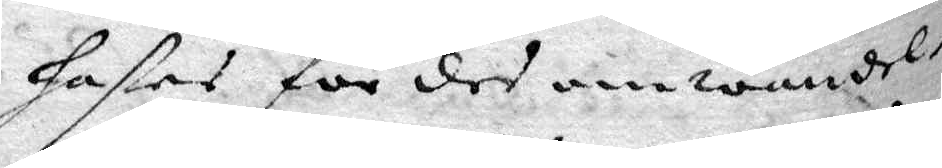hafes för des omwändel¬
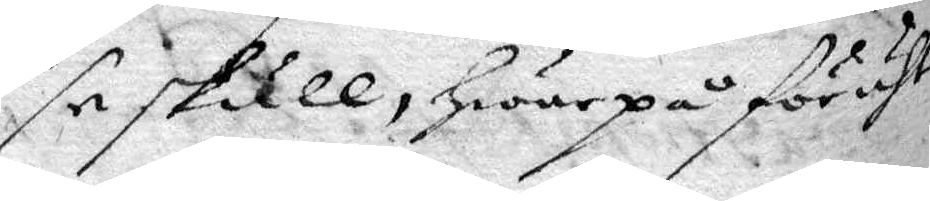se skull, hwarpå föruth
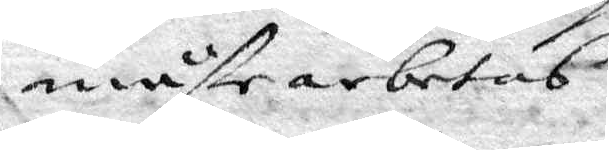måste arbetas.
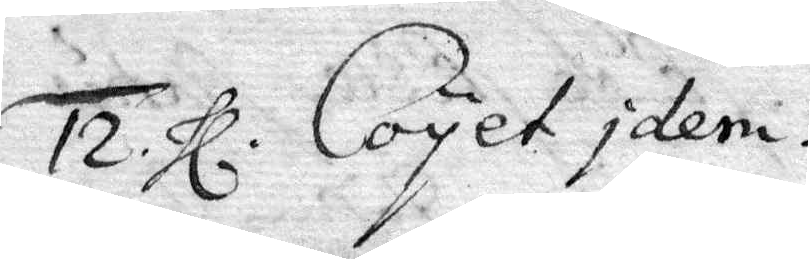12. hl. Coyet Idem.
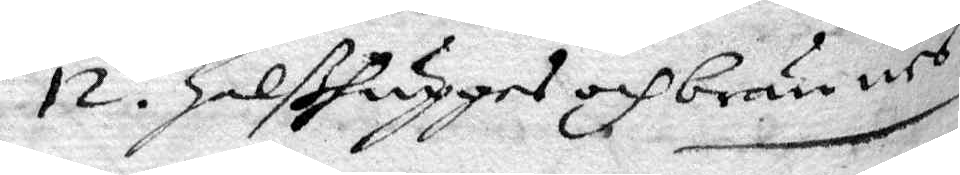12. halßhugges och brännes
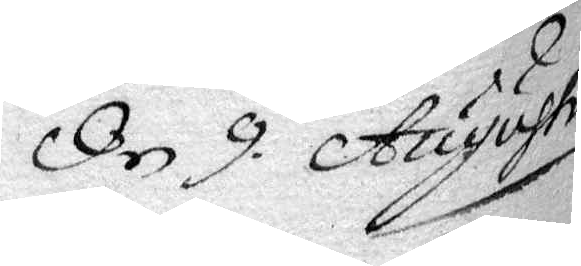Den 9 Augusti
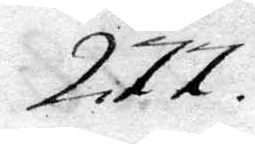277.
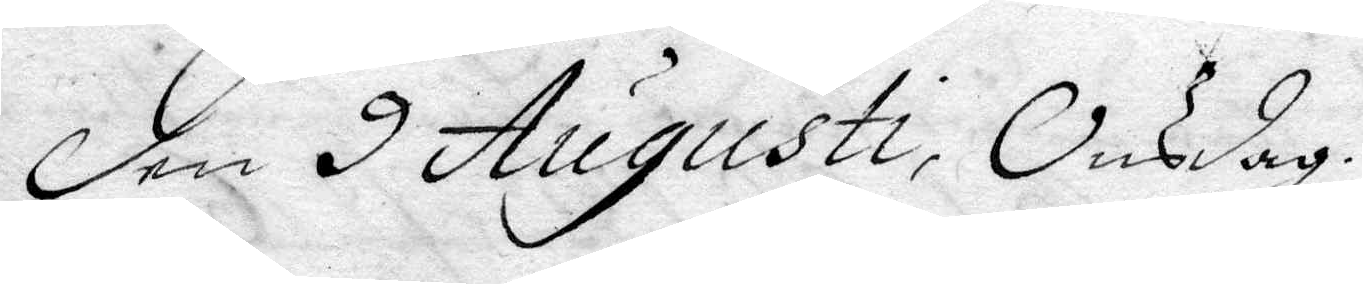Den 9 Augusti, Onsdag.
